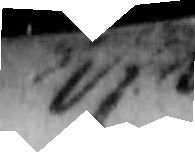17. Wf N
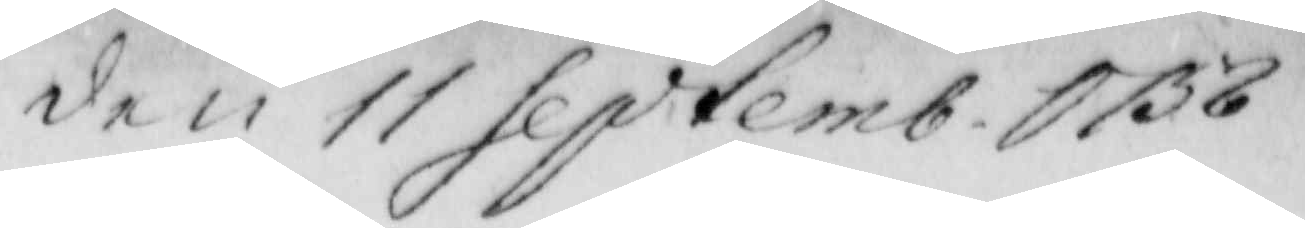den 11 Septemb. 1758. 
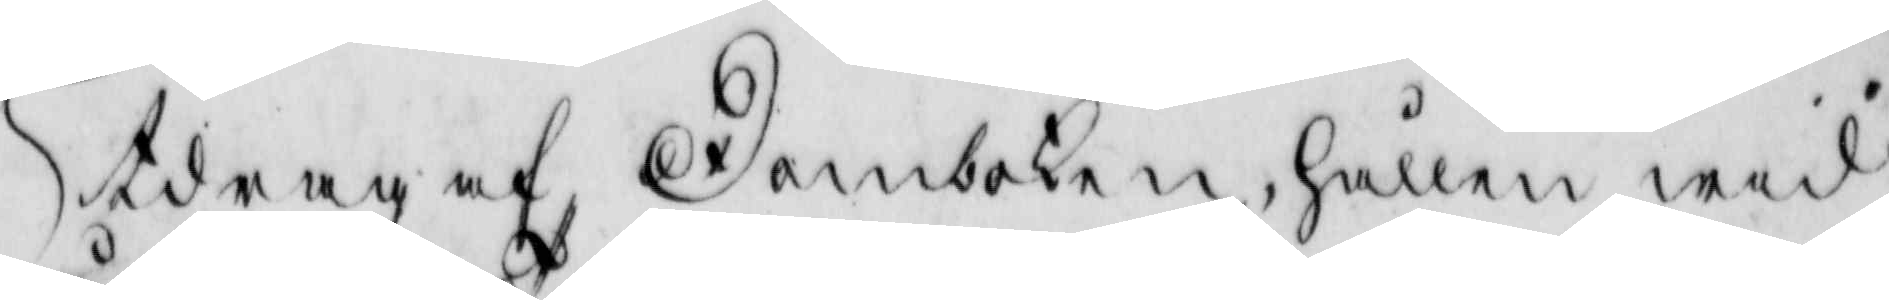Utdrag af domboken, hållen wid
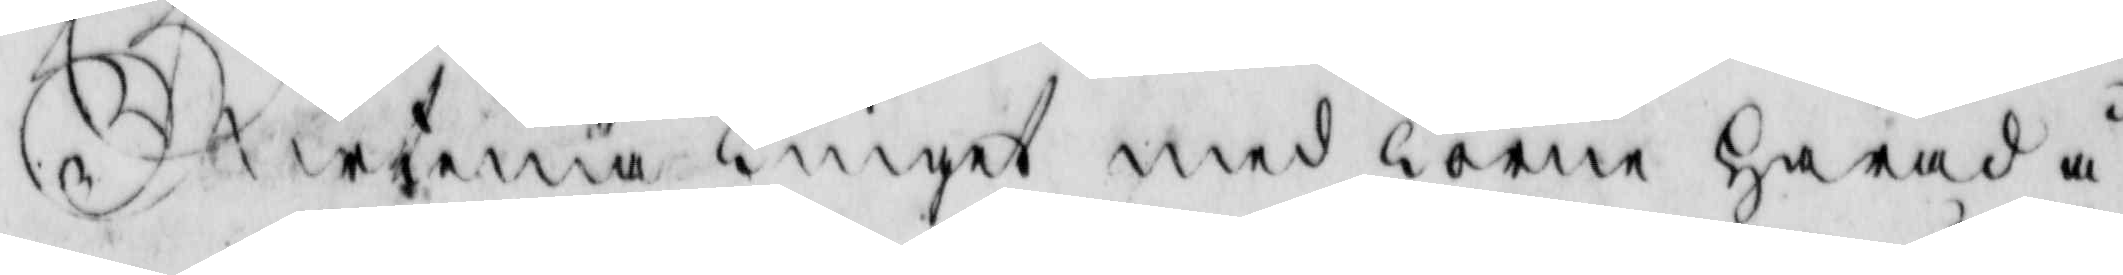urtima Tinget med Torne Härad å¬
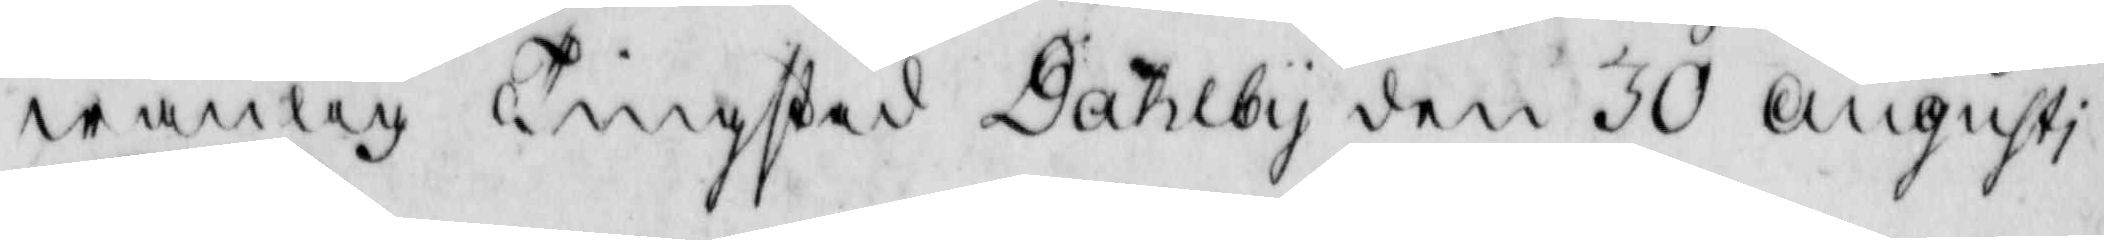wanlig Tingstad Dahlby den 30 Augusti
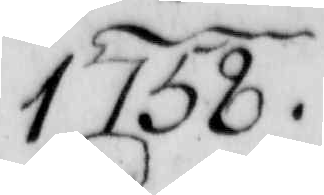1758.
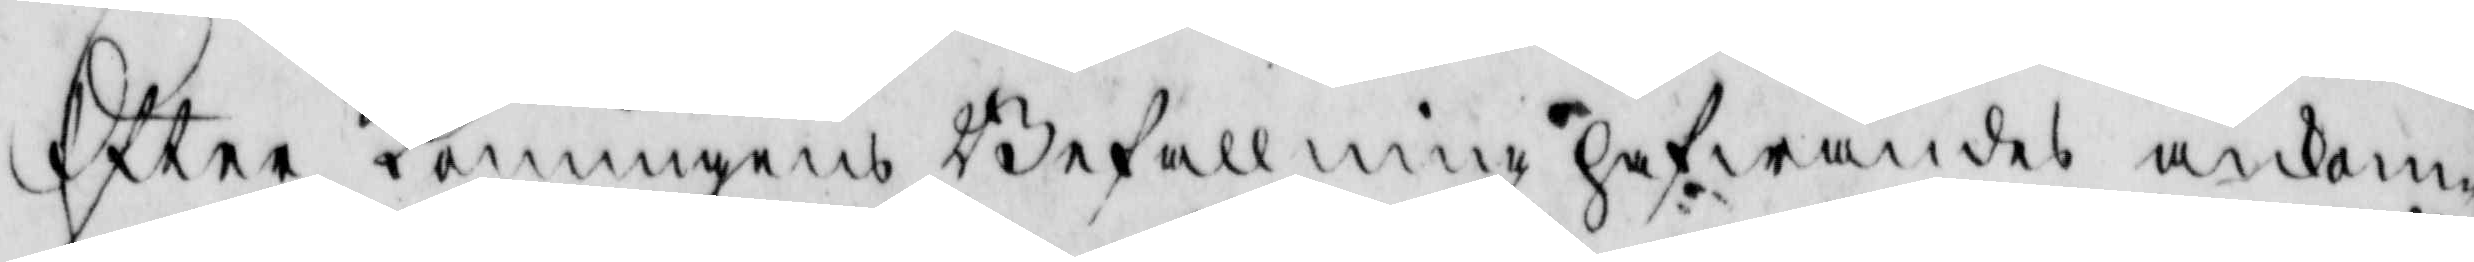Eftter Konungens Befallning hafwandes ankom¬
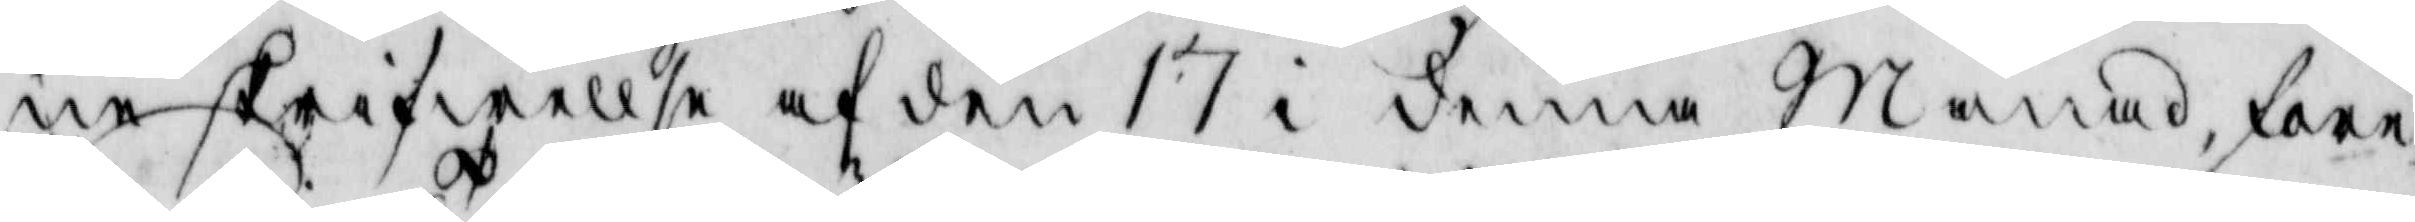ne skrifwellse af den 17 i denna månad, före¬
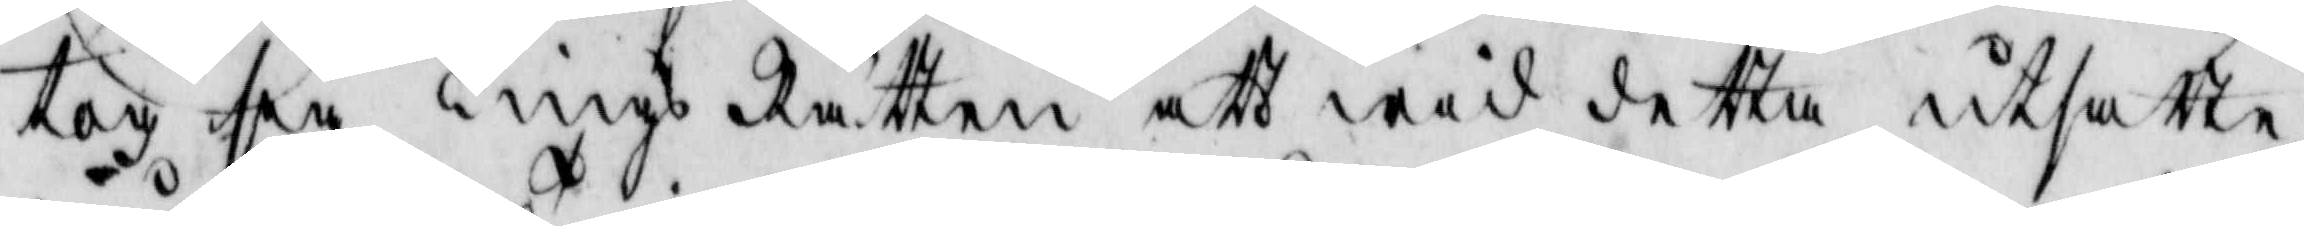tog sig Tings Rätten att wid detta utsatte
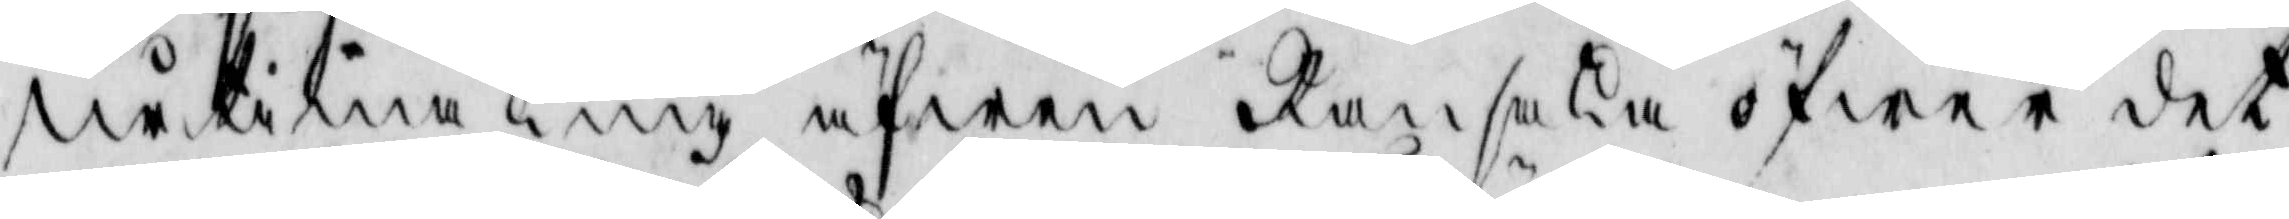urtima Ting äfwen Ransaka öfwer det
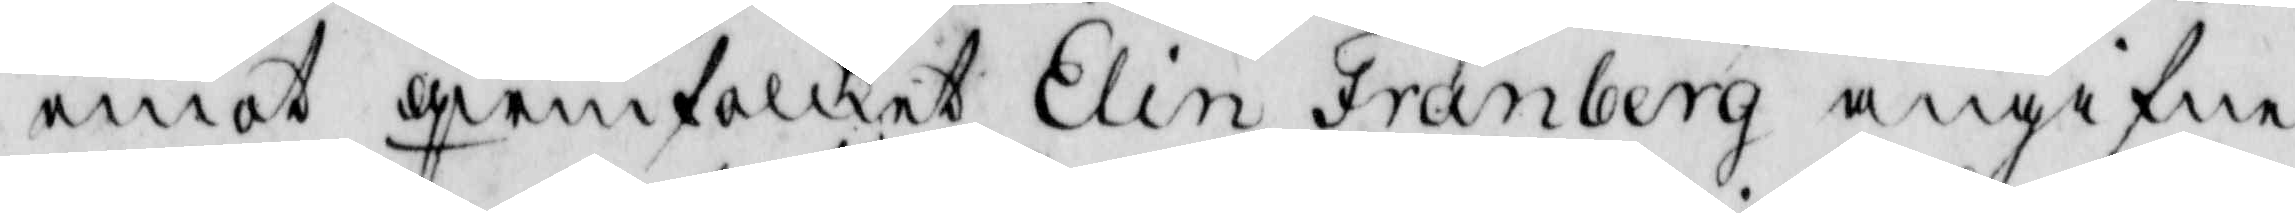emot qwinfolket Elin Fränberg angifne
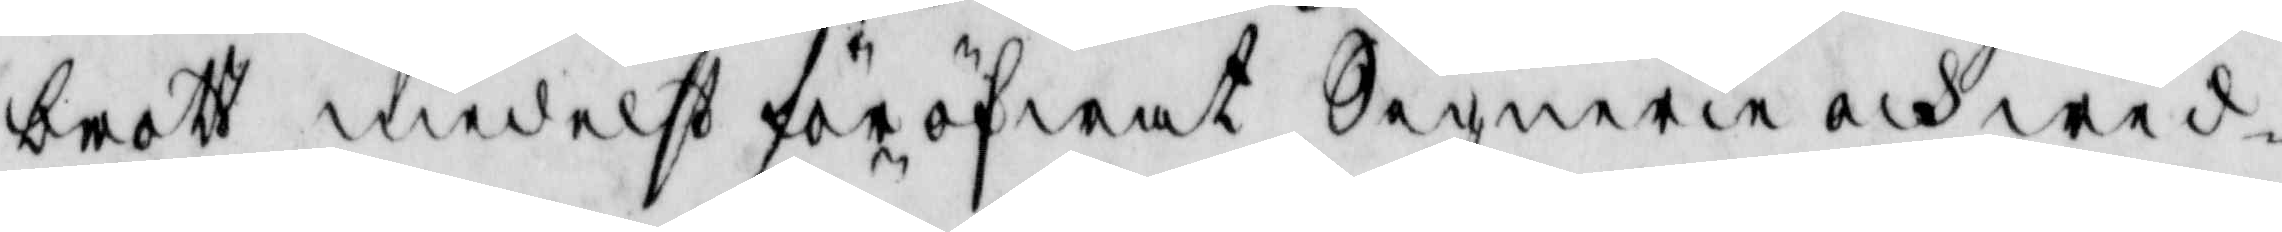brott medelst föröfwat Signerie och wid¬
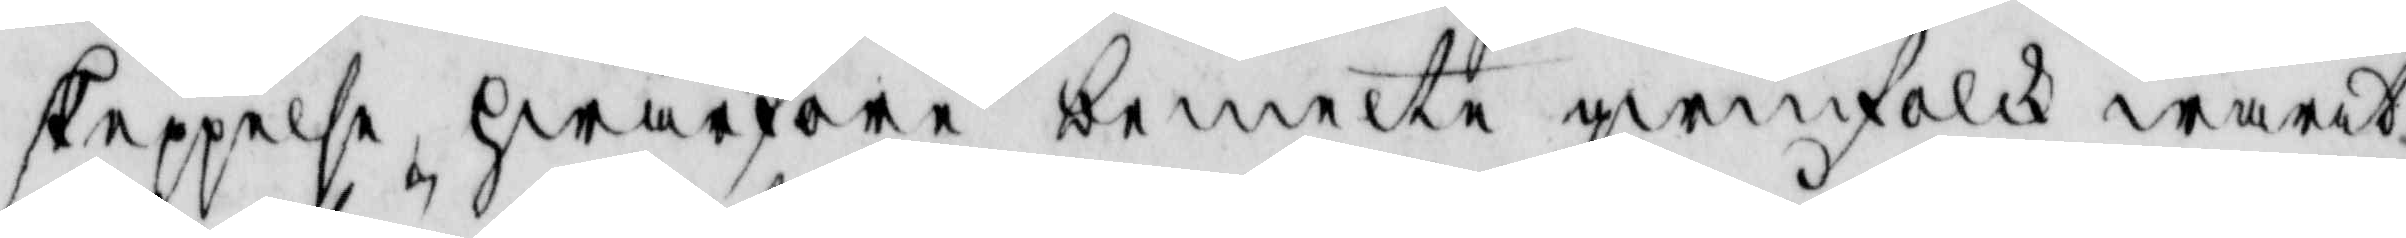skeppelse, hwarföre bemelte qwinfolk warit
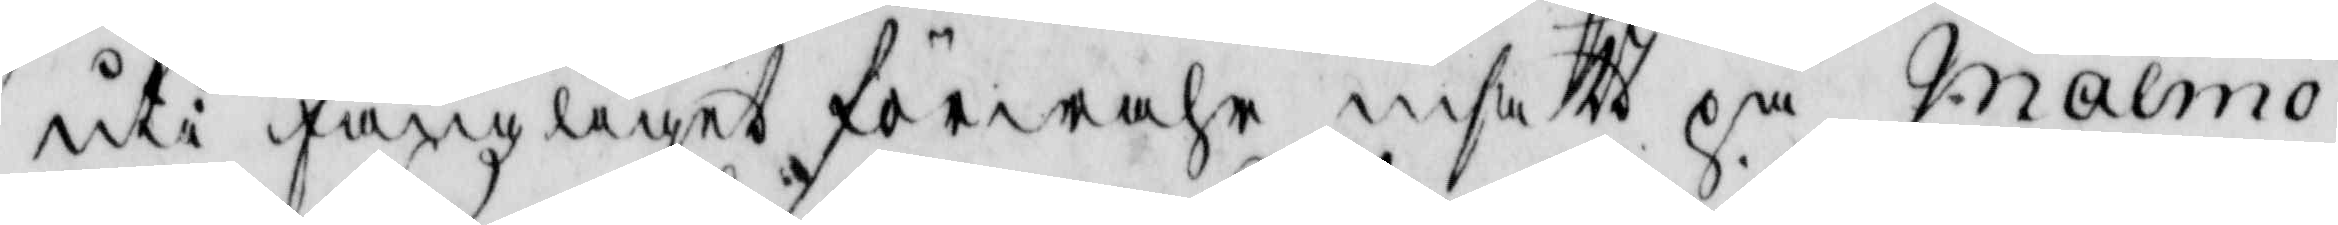uti fängzliget förwahr insatt på Malmö
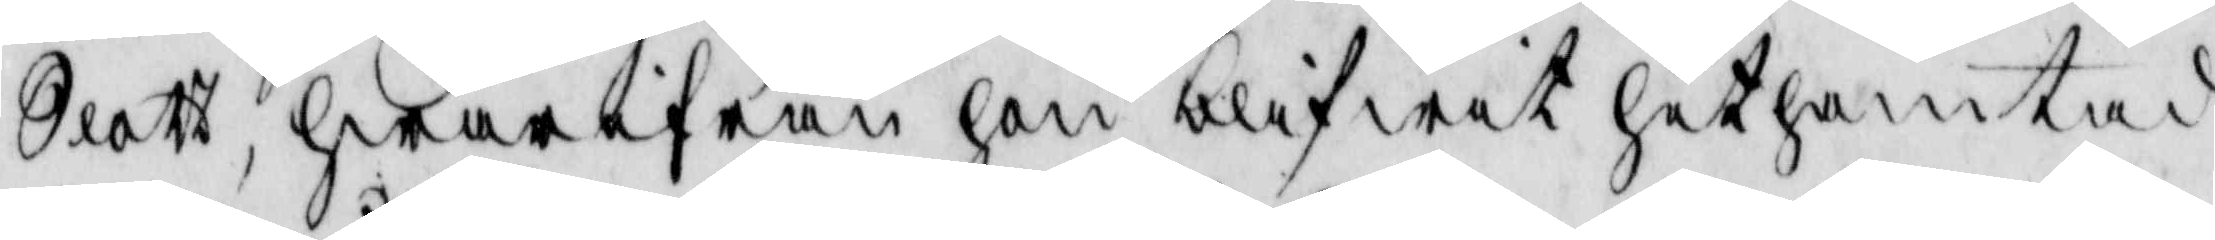Slott, hwarifrån hon blifwit het hämtad
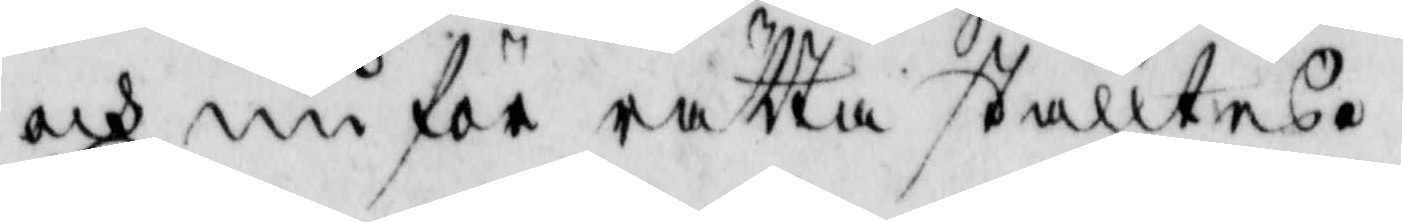och nu för rätta ställtes.
